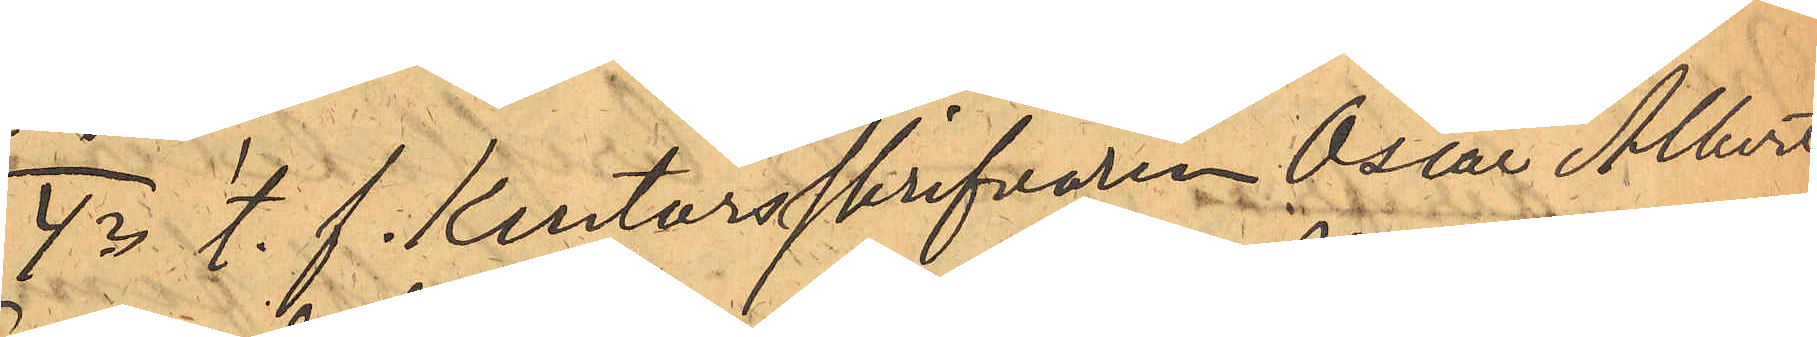4o t. f. kontorsskrifvaren Oscar Albert
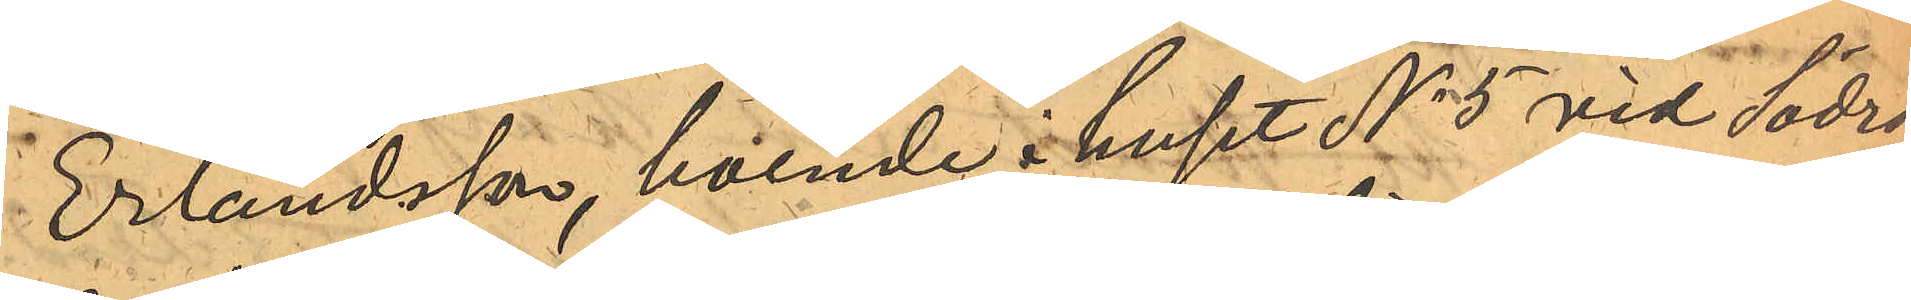Erlandsson, boende i huset No 5 vid Södra
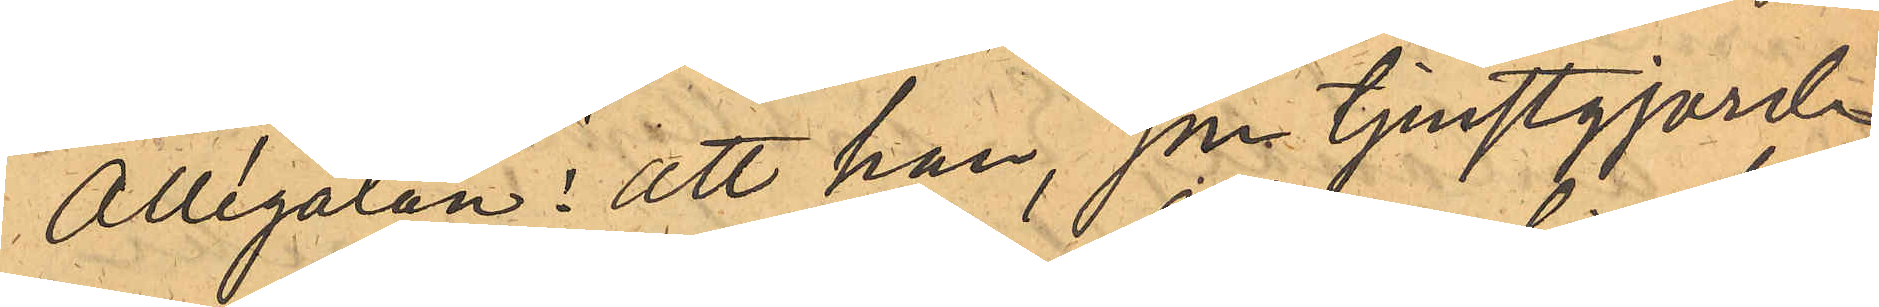Allégatan: att han, som tjenstgjorde
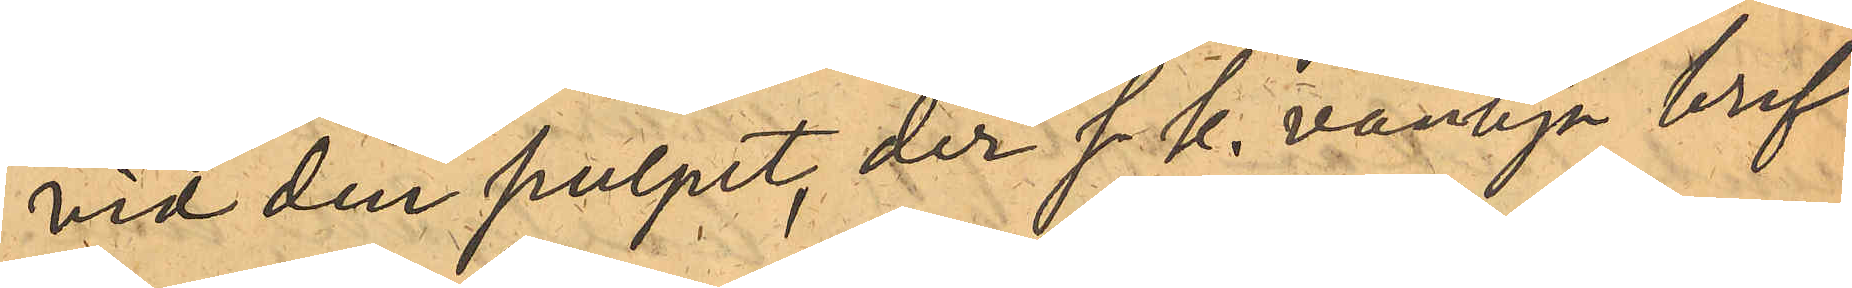vid den pulpet, der s. k. vanliga bref
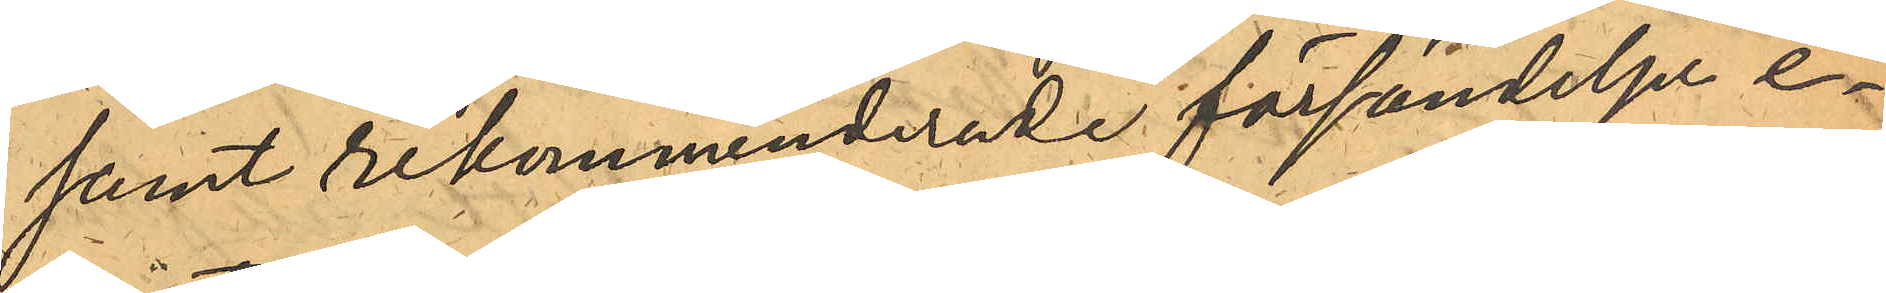samt rekommenderade försändelser e¬
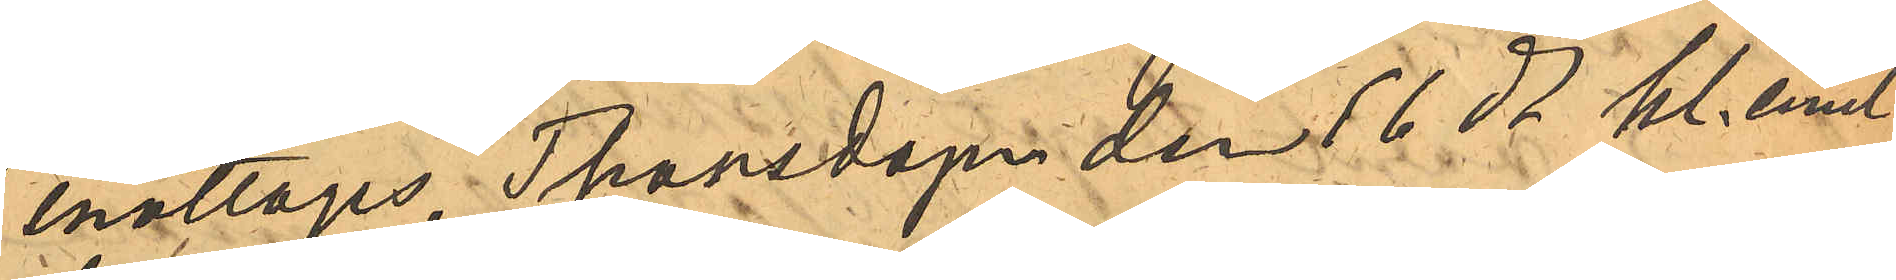mottages, Thorsdagen den 16 ds kl. emel¬
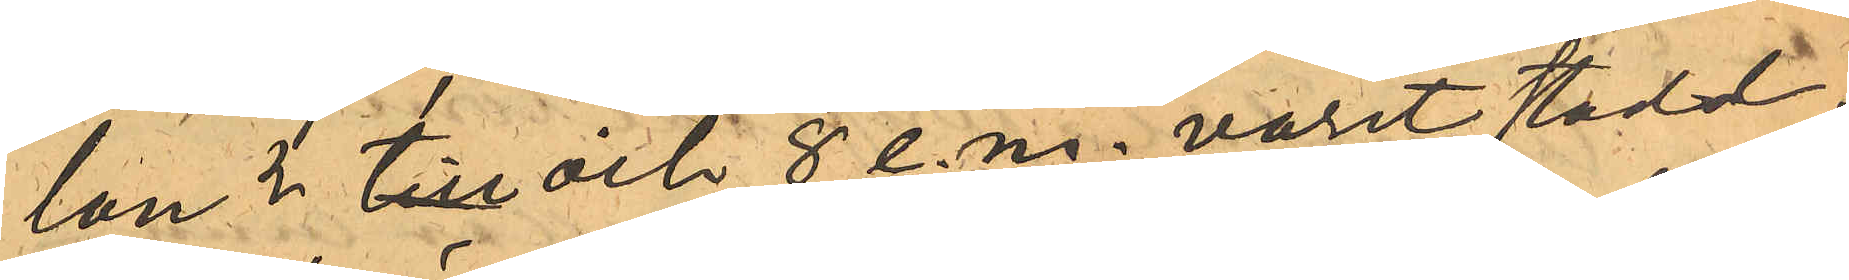lan 3 till och 8 e.m. varit stadd i
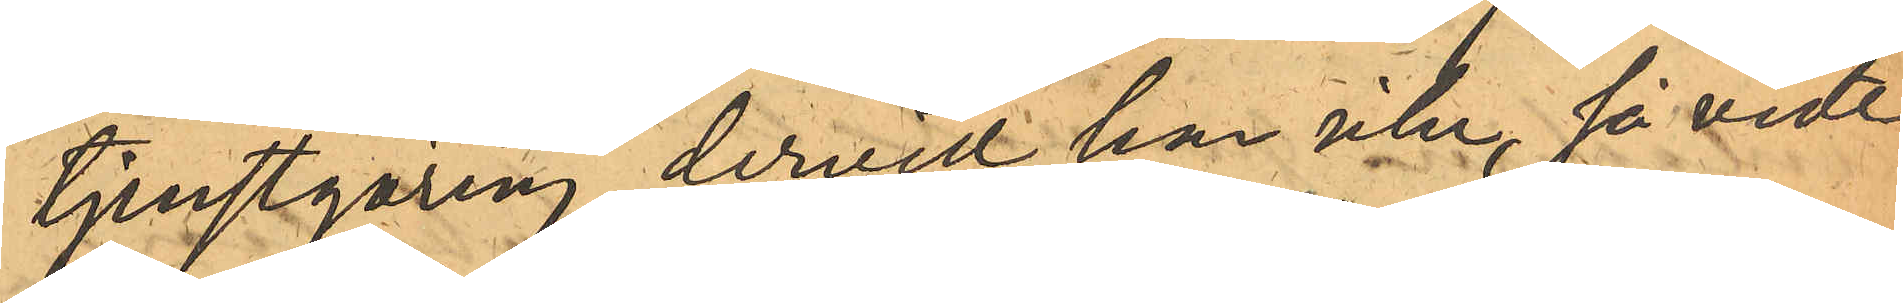tjenstgöring, dervid han icke, så vidt
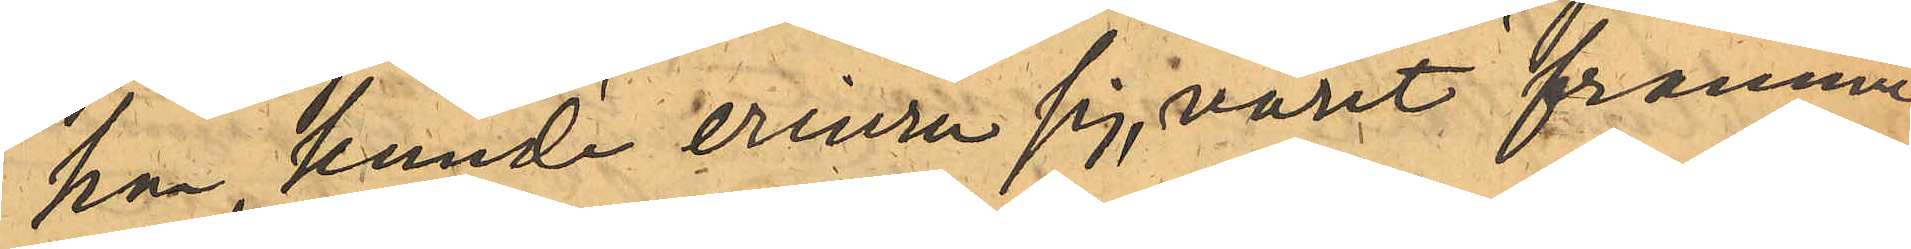han kunde erinra sig, varit framme
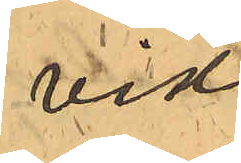vid
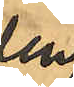den
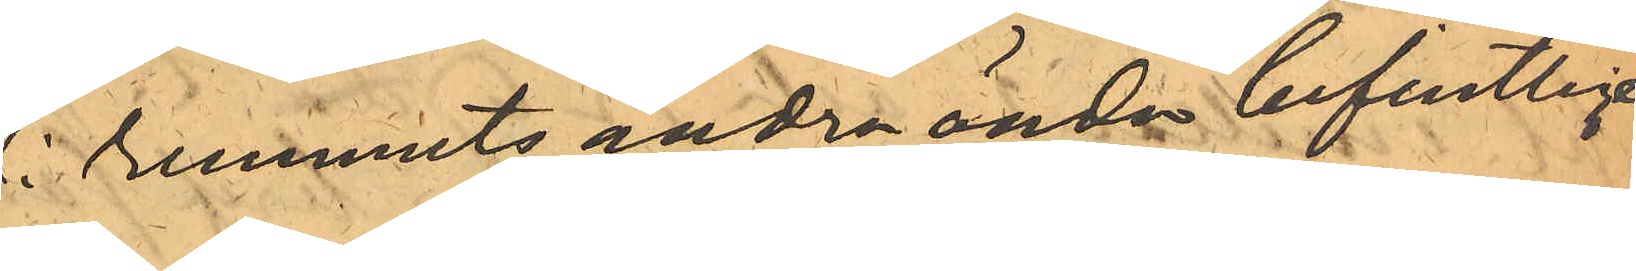i rummets andra ända befintlige
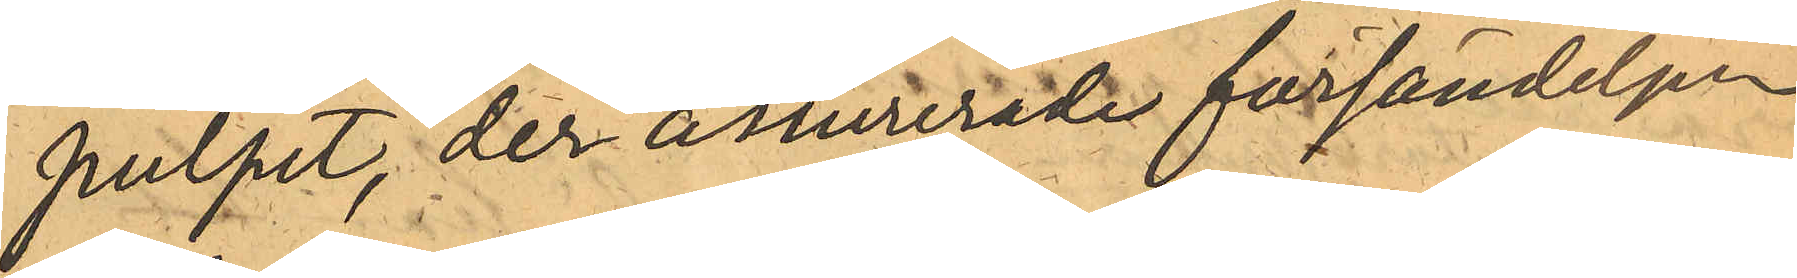pulpet, der assurerade försändelser
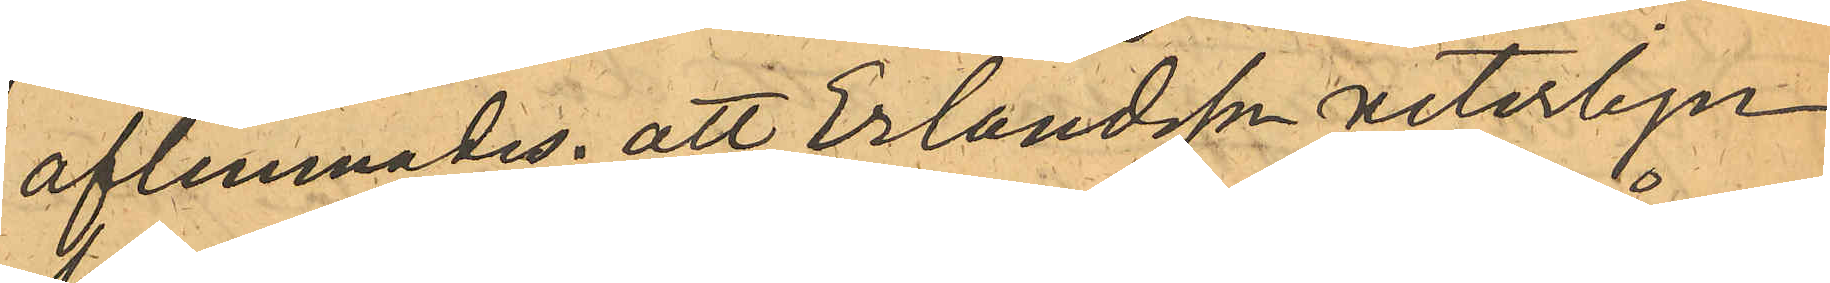aflemnades; att Erlandsson veterligen,
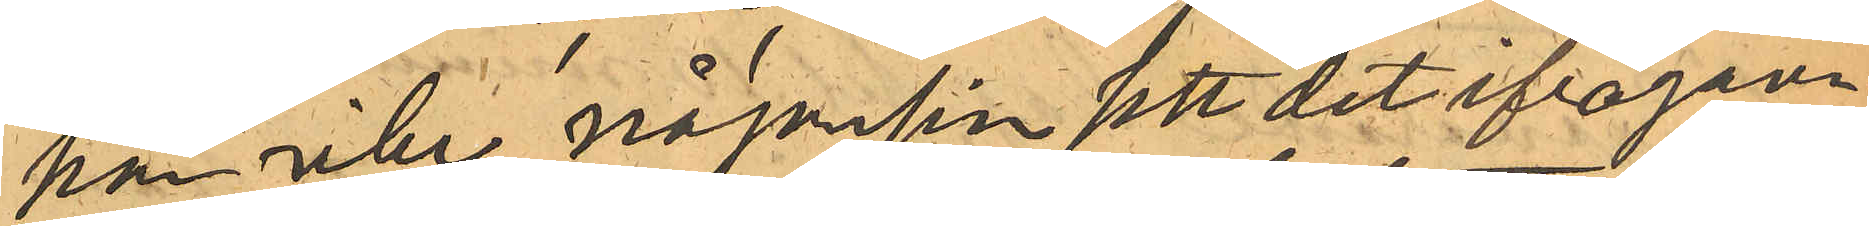han icke någonsin sett det ifrågava¬
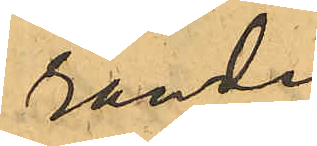rande
